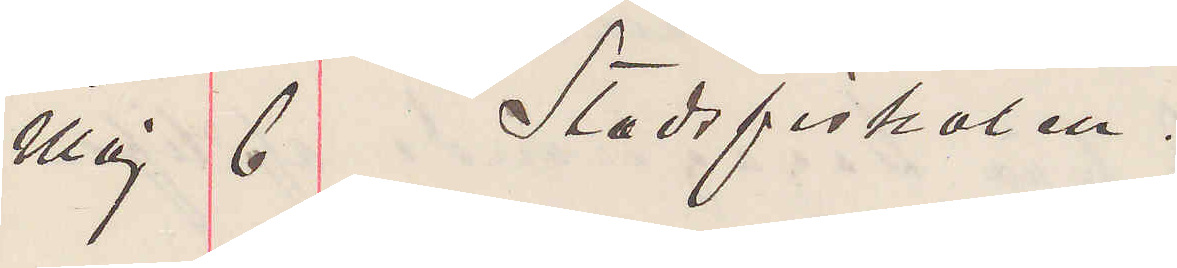Maj 6 Stadsfiskalen.
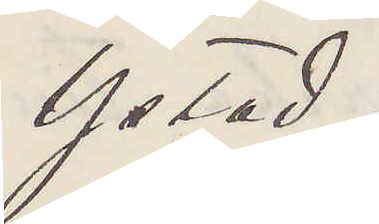Ystad.
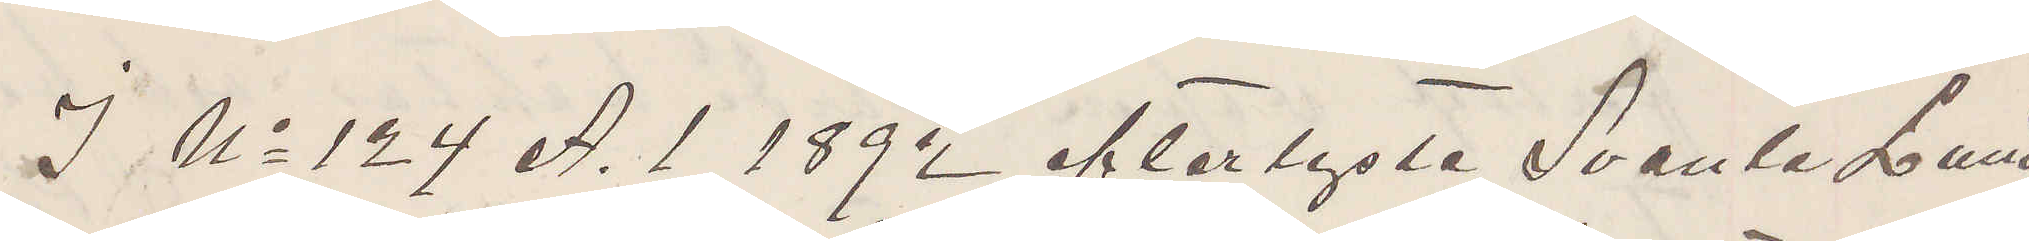I No 124 A. 1 1892 efterlyste Svante Lund¬
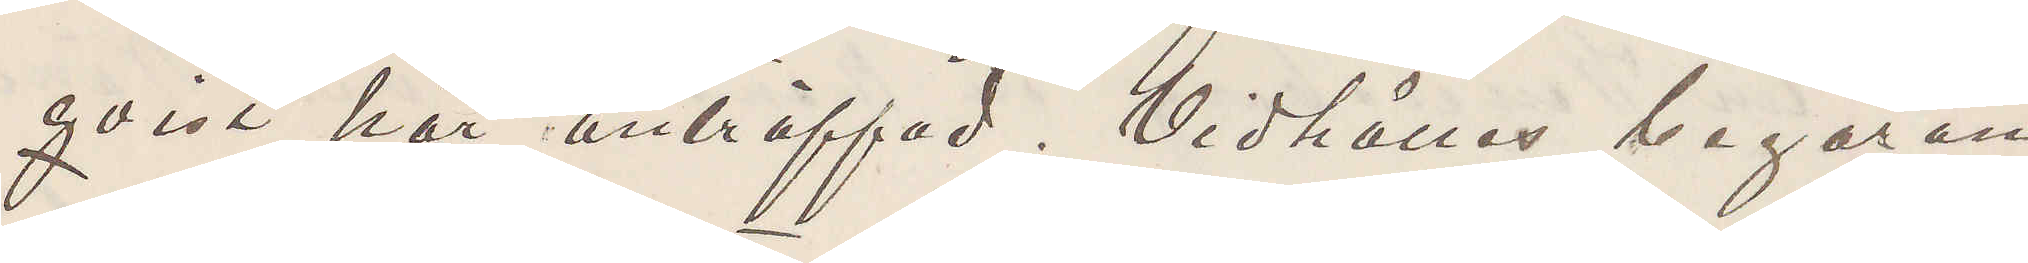qvist här anträffad Vidhålles begäran
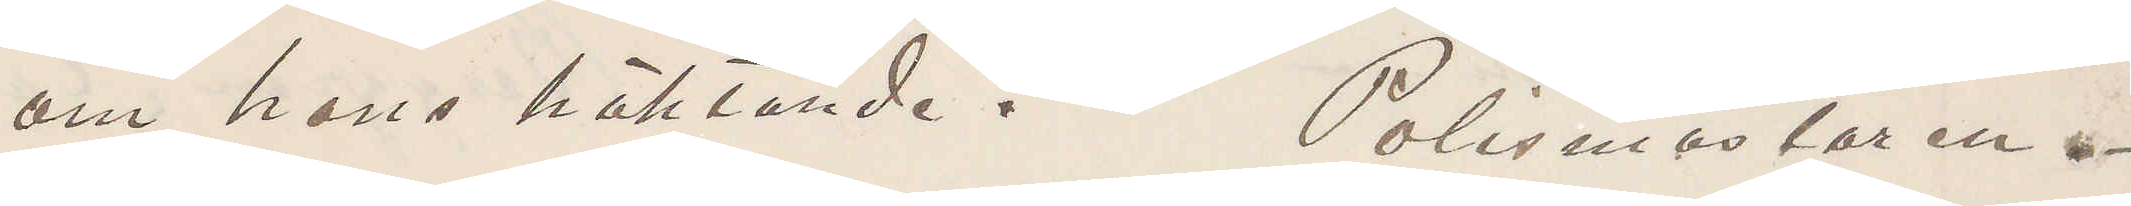om hans häktande? Polismästaren
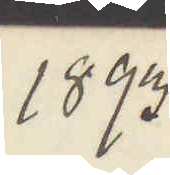1893
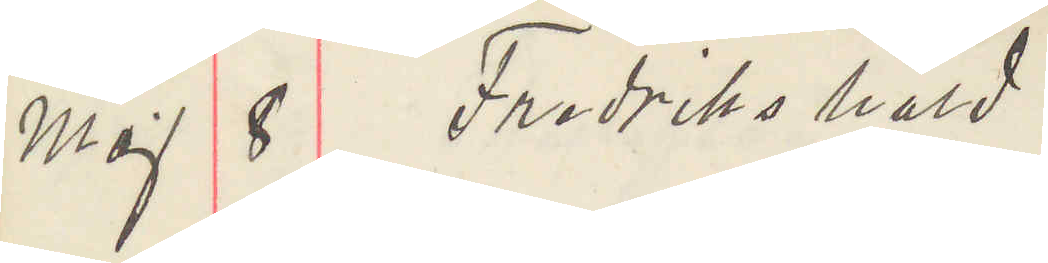Maj 8 Fredrikshald
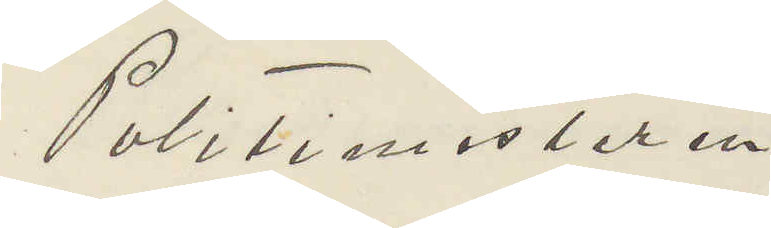Politimesteren 
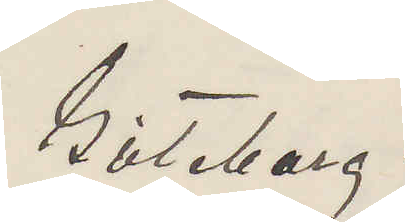Göteborg.
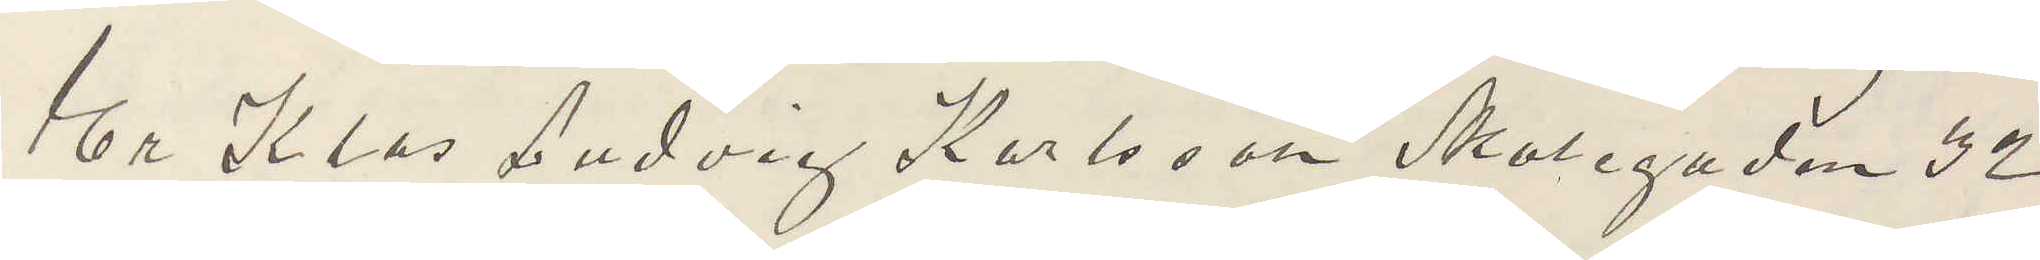Er Klas Ludvig Karlsson Skolegaden 32
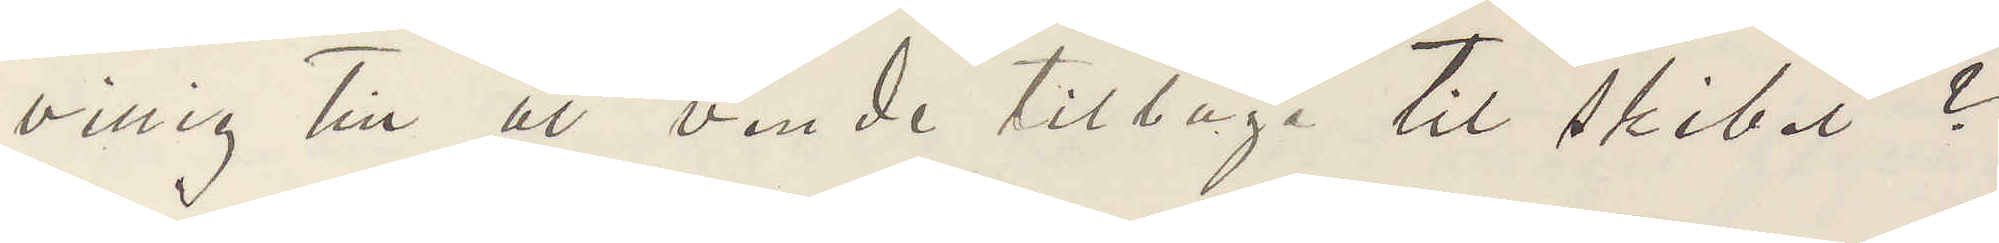villig till at vende tilbage til skibet?
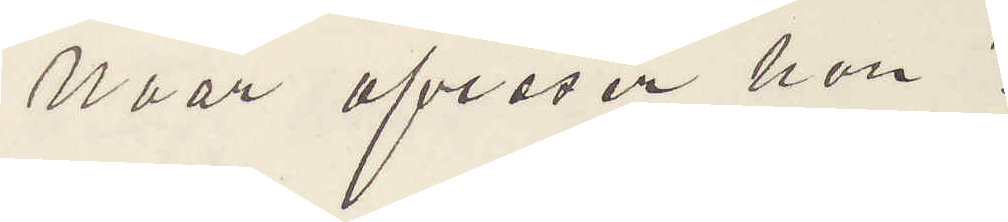Naar afreser han?
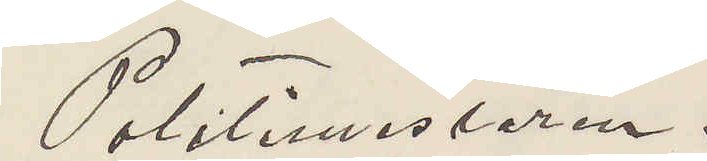Politimesteren.
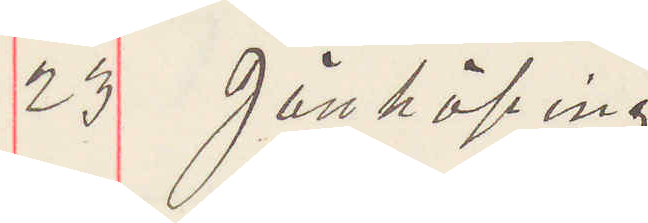23 Jönköping
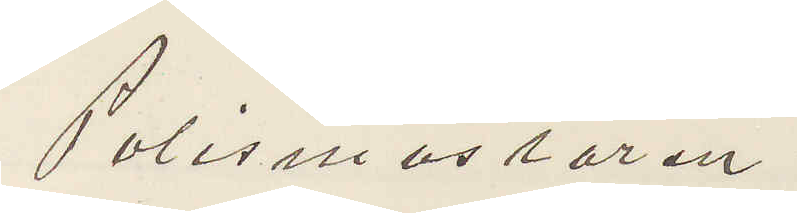Polismästaren
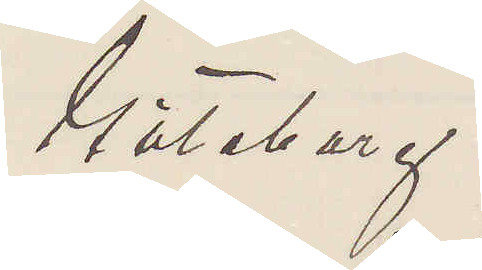Göteborg.
